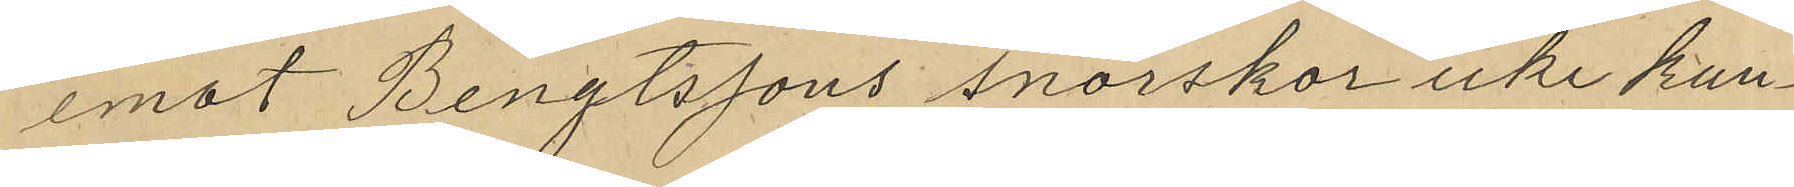emot Bengtssons snörskor icke kun¬
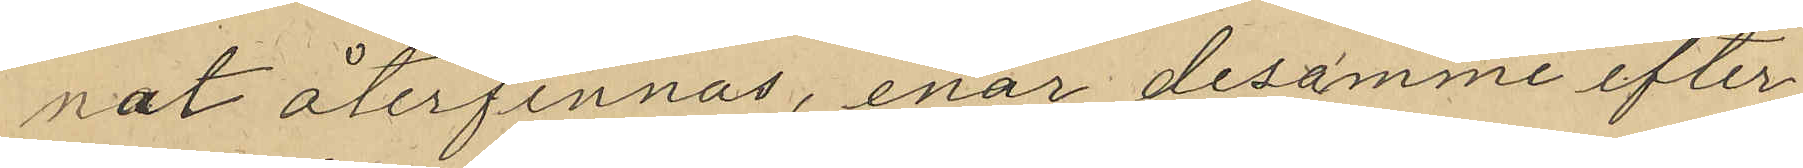nat återfinnas, enär desamme efter
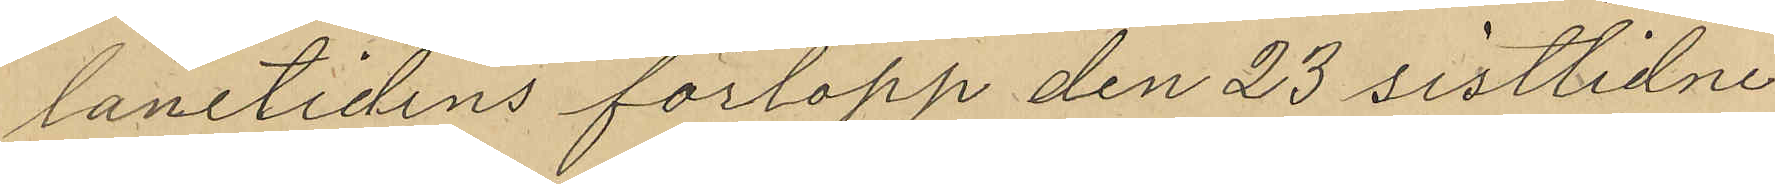lånetidens förlopp den 23 sistlidne
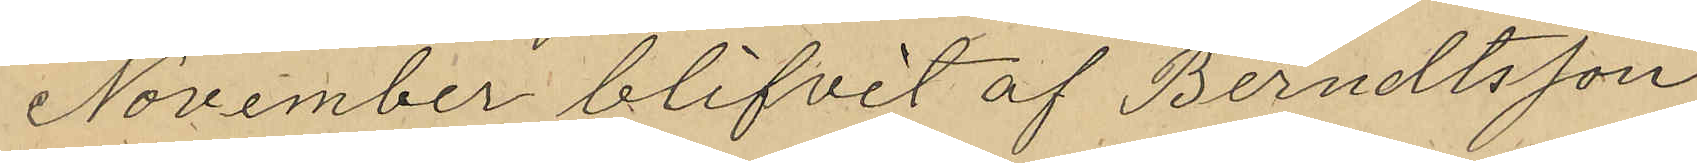November blifvit af Berndtsson
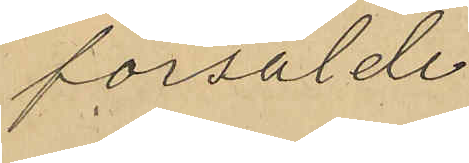försålde.
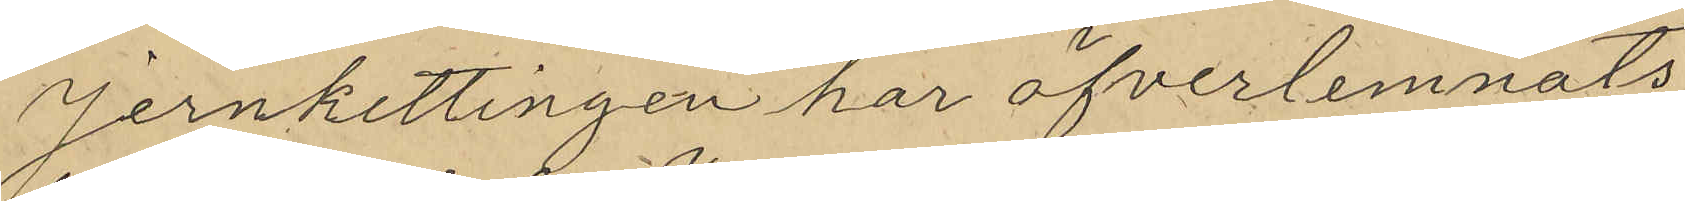Jernkettingen har öfverlemnats
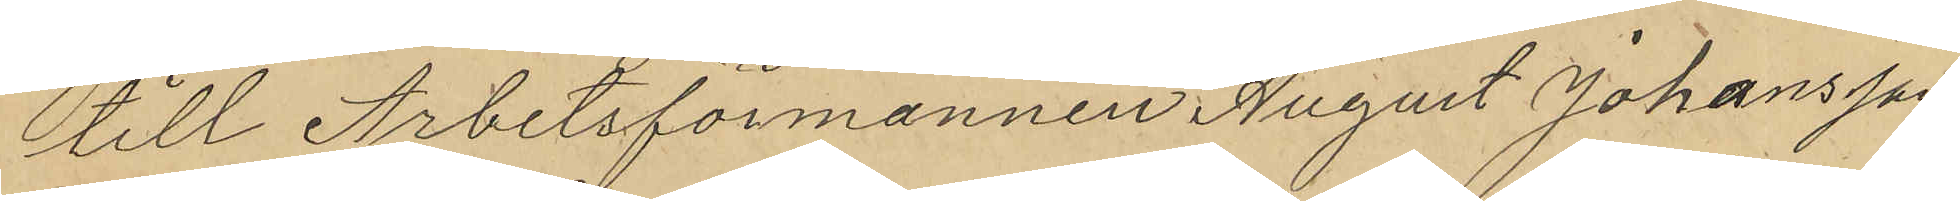till Arbetsförmannen August Johansson
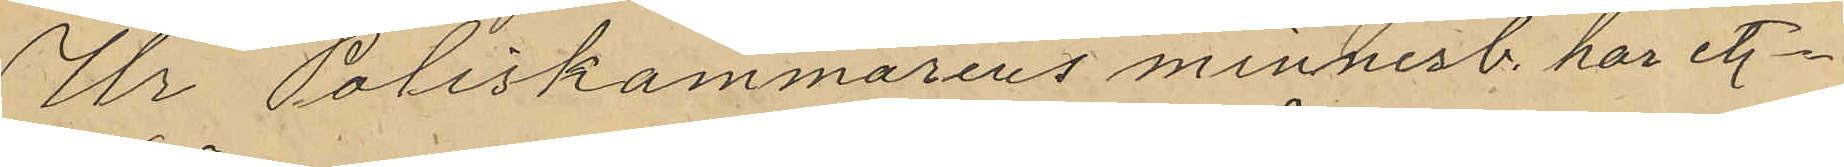Ur Poliskammarens minnesb. har et.
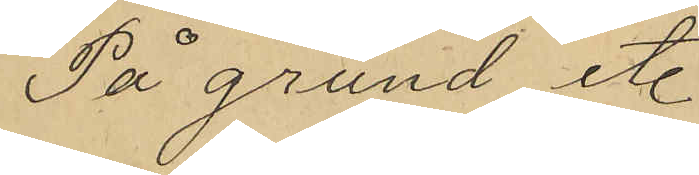På grund et.
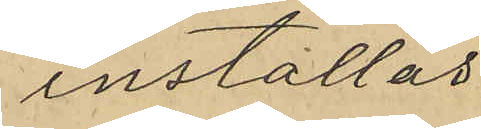inställas
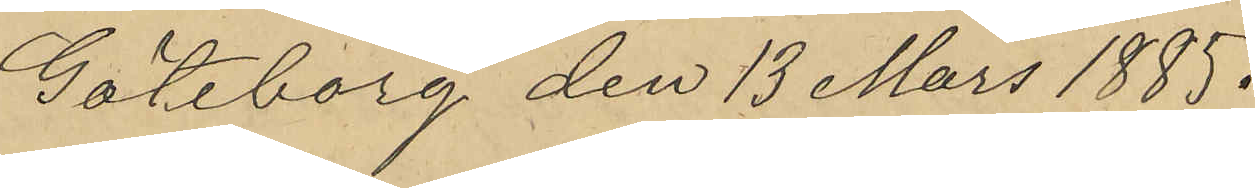Göteborg den 13 Mars 1888.
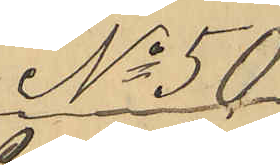No 56.
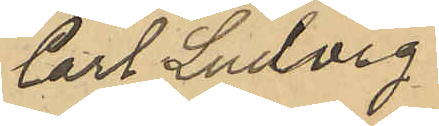Carl Ludvig
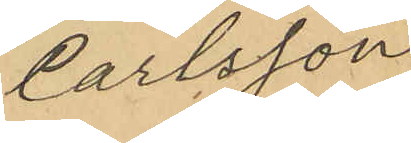Carlsson
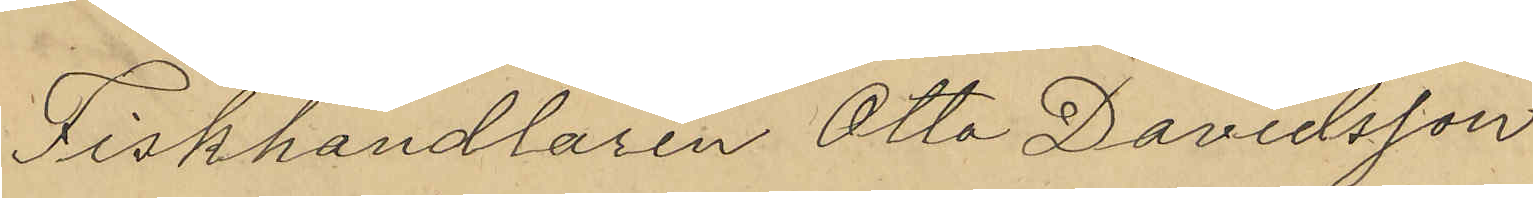Fiskhandlaren Otto Davidsson
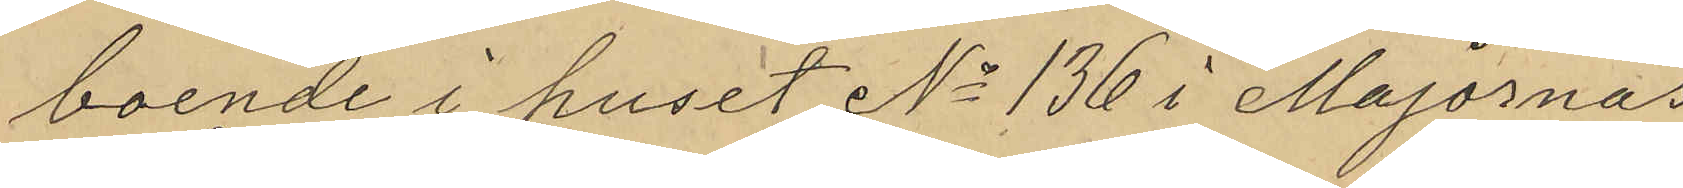boende i huset No 136 i Majornas
